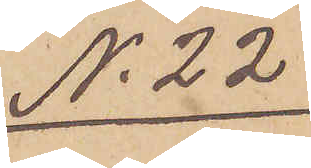No 22
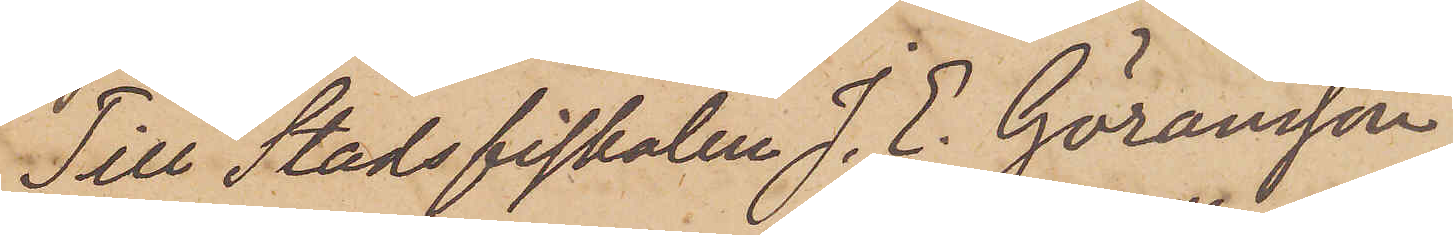Till Stadsfiskalen J. E. Göransson
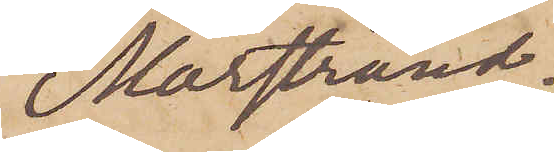Marstrand.
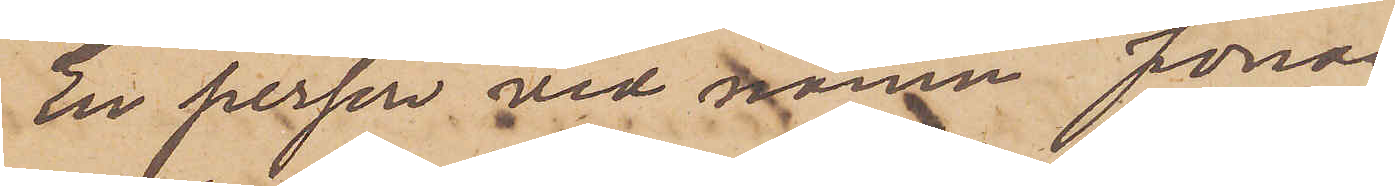En person vid namn Jonas¬
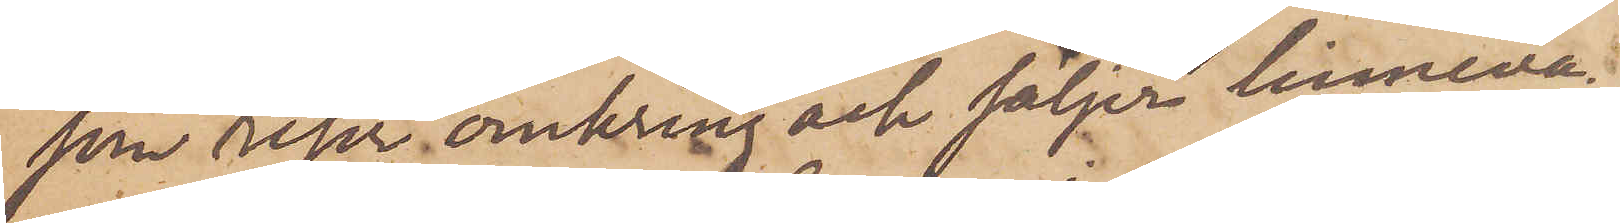son reser omkring och säljer linneva¬
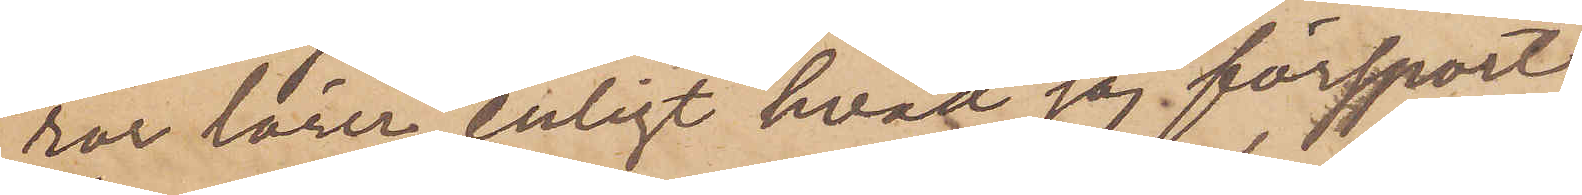ror lärer, enligt hvad jag försport,
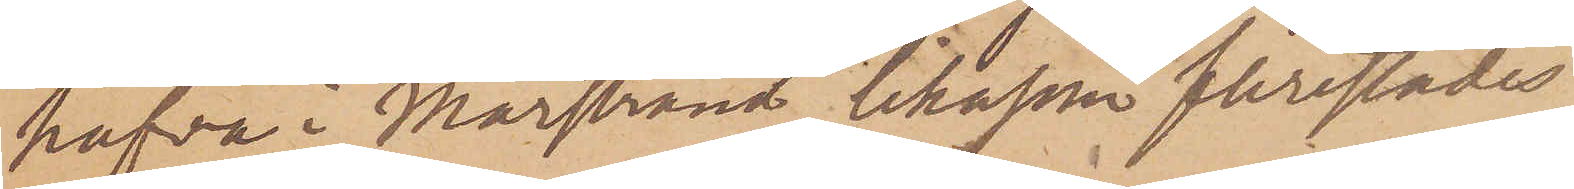hafva i Marstrand likasom flerstädes
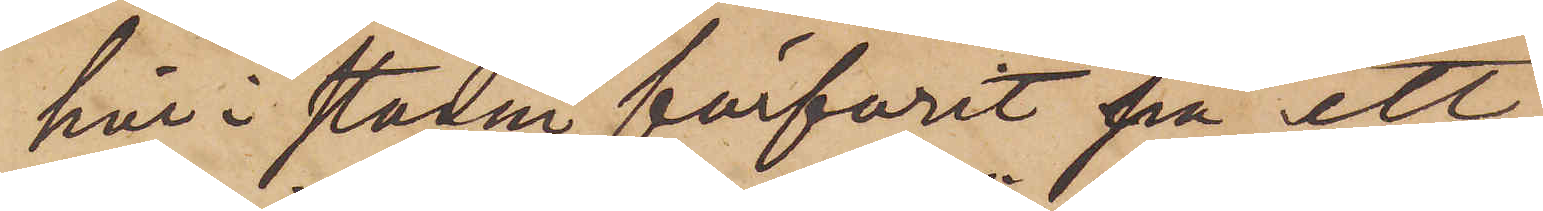här i staden förfarit på ett
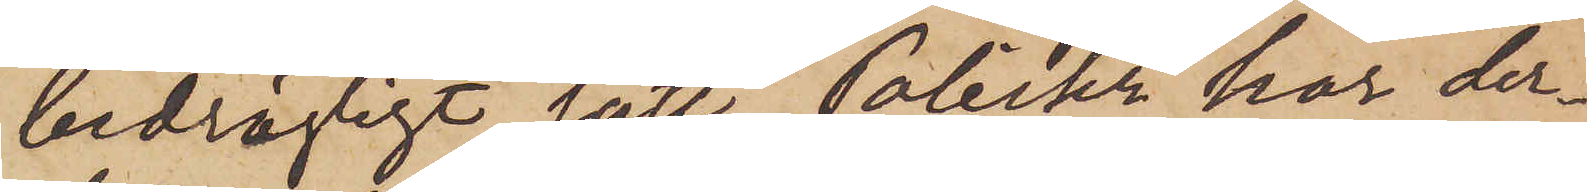bedrägligt sätt. Poliskr har der¬
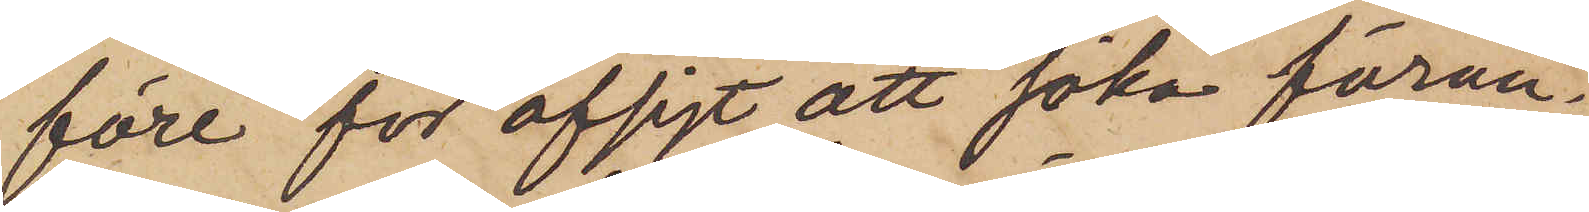före för afsigt att söka föran¬
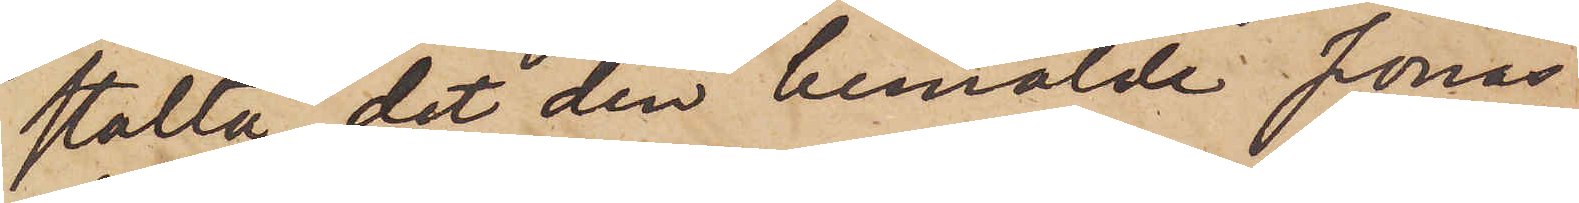stalta, det den bemälde Jonas
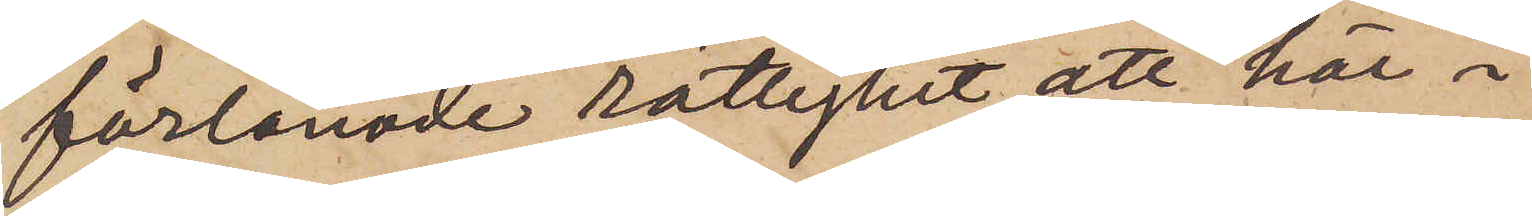förlänade rättighet att här i
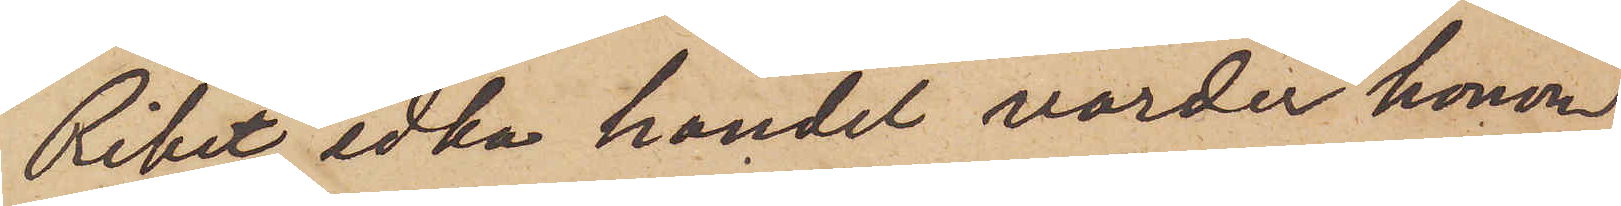Riket idka handel varder honom
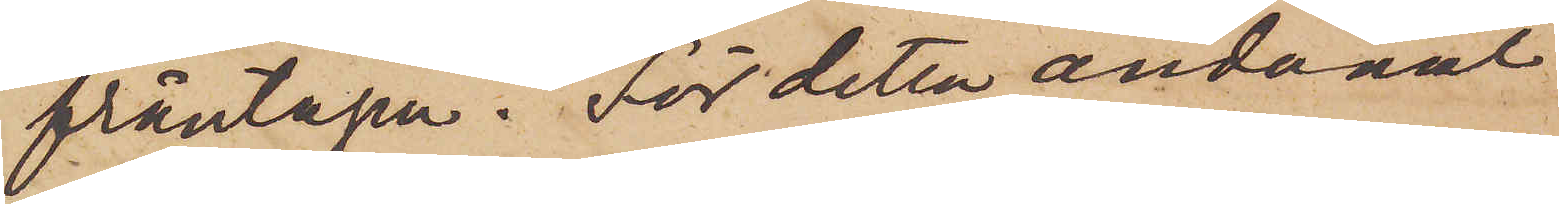fråntagen.  För detta ändamål
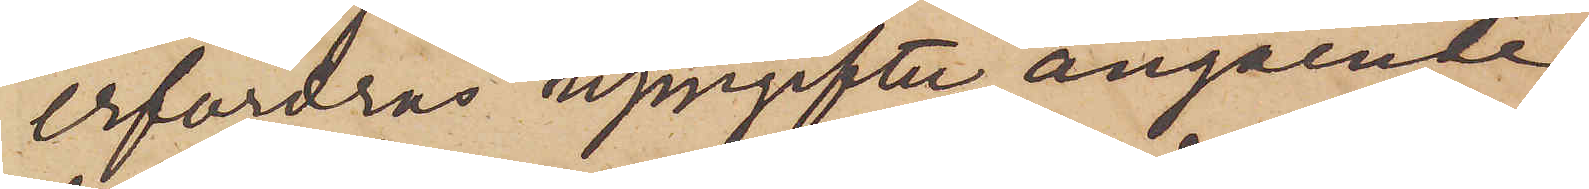erfordras uppgifter angående
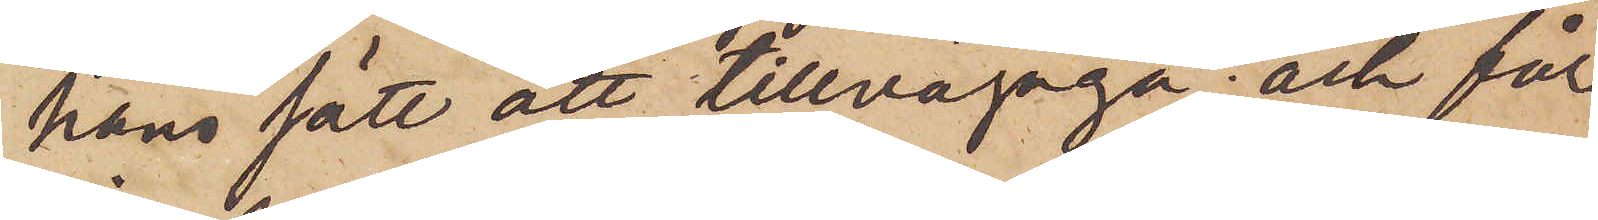hans sätt att tillvägagå; och får
